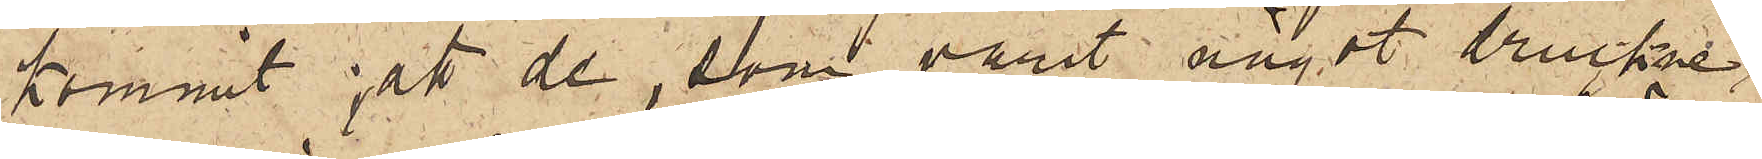kommit; att de, som varit något druckne,
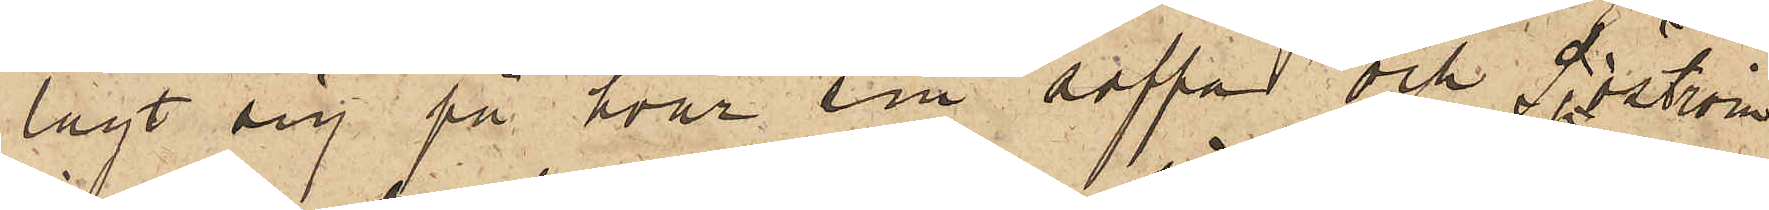lagt sig på hvar sin soffa och Sjöström
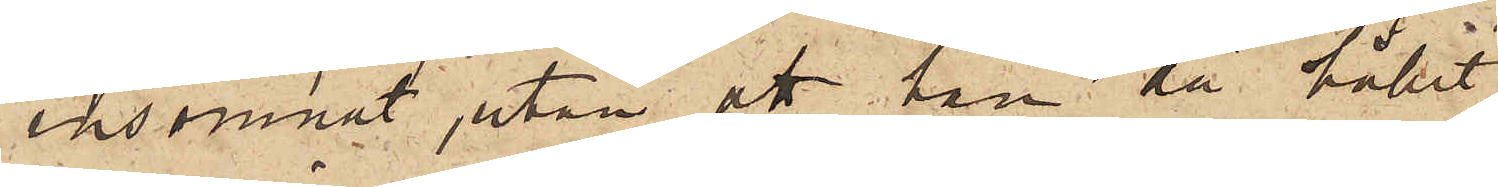insomnat, utan att han då hållit
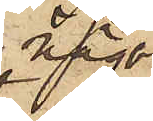någon
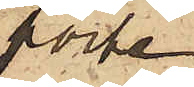porte¬
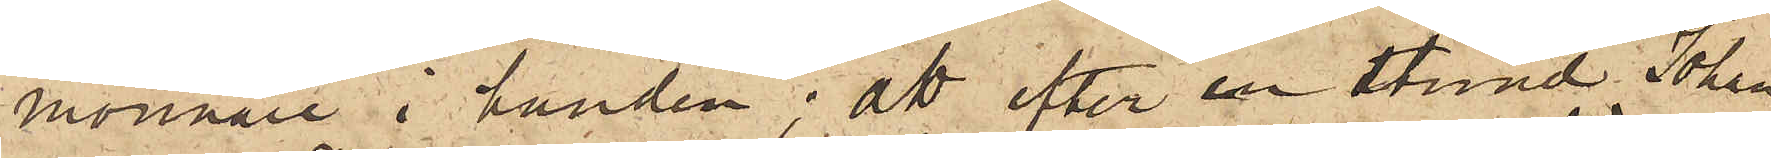monnaie i handen; att efter en stund Johan¬
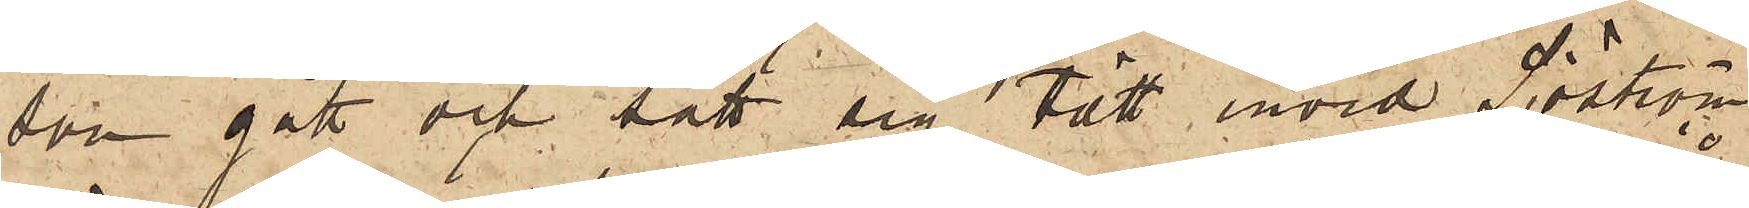son gått och satt sig tätt invid Sjöström
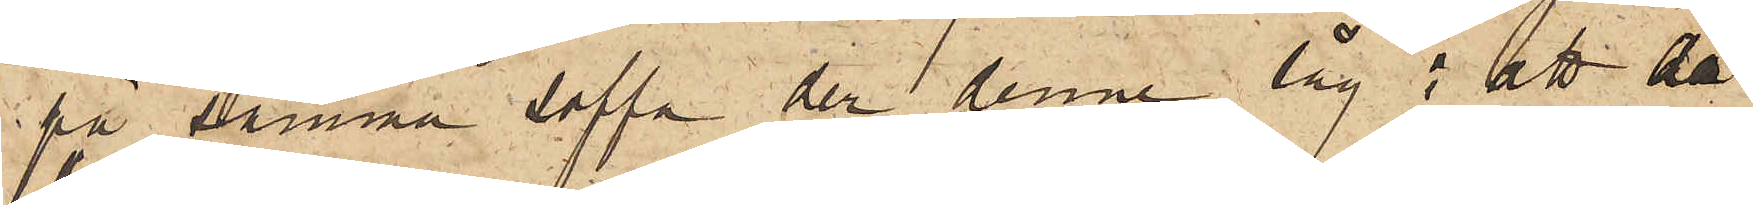på samma soffa der denne låg; att då
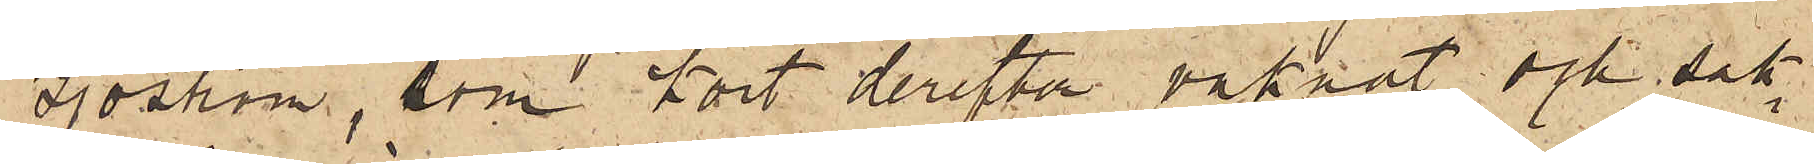Sjöström, som kort derefter vaknat och sak¬
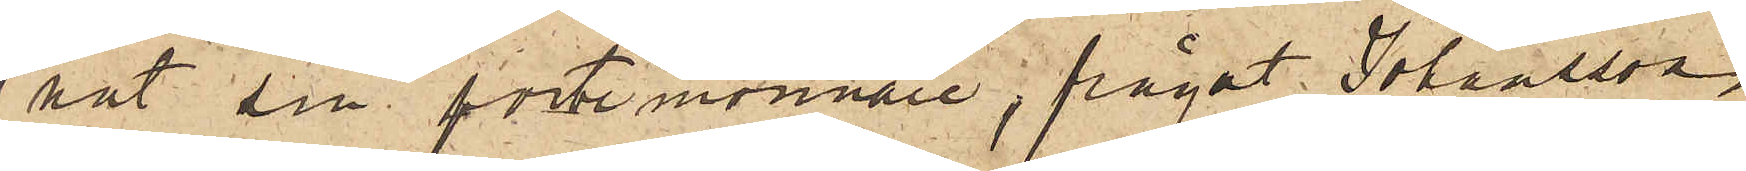nat sin portemonnaie, frågat Johansson
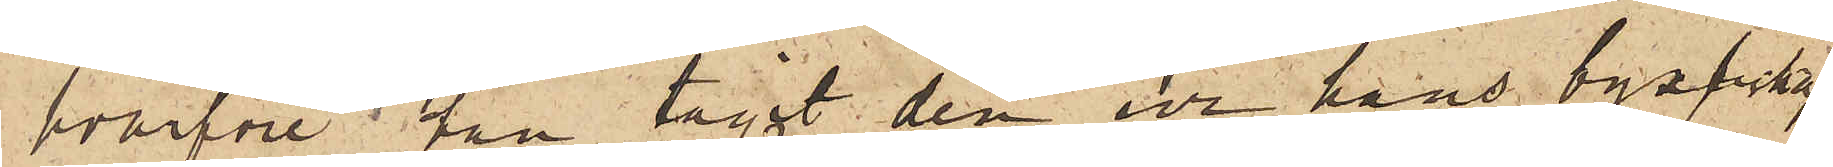hvarföre han tagit den ur hans byxficka,
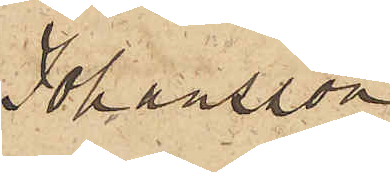Johansson
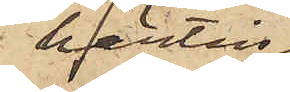härtill
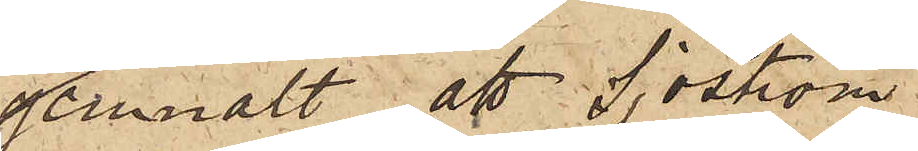genmält, att Sjöström
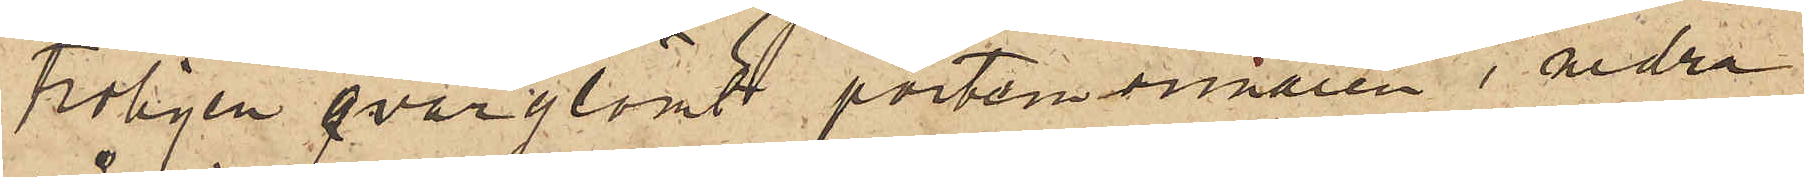troligen qvarglömt portemonnaien i andra
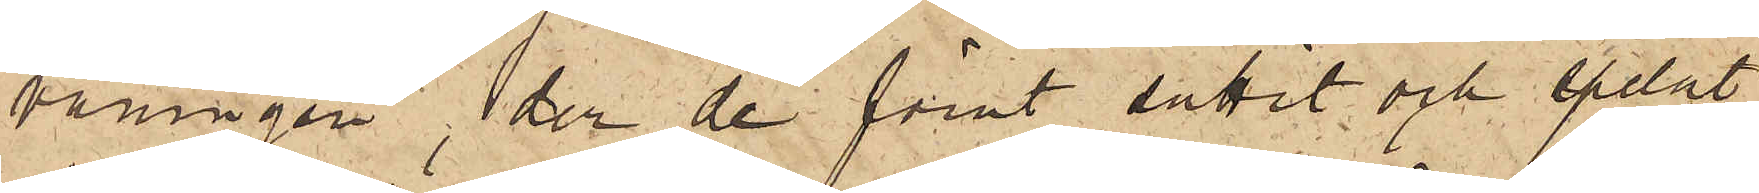våningen, der de förut suttit och spelat
